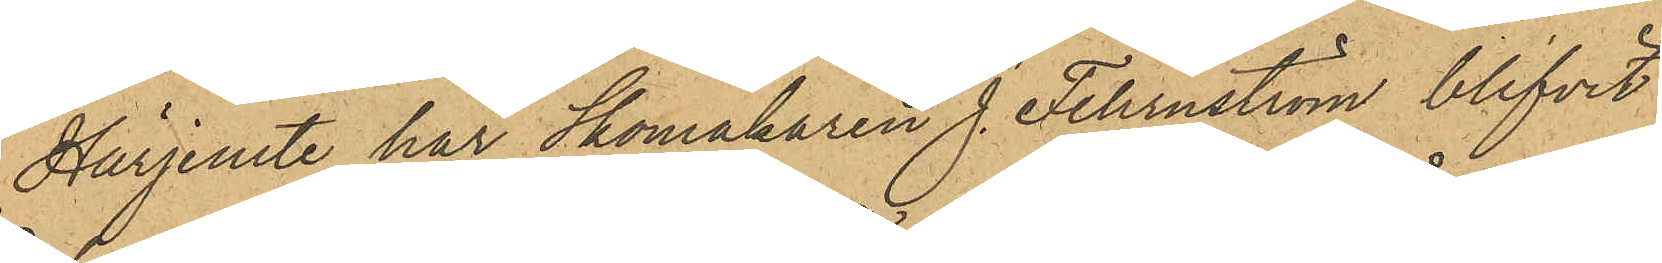Härjemte har Skomakaren J. Fehrnström blifvit
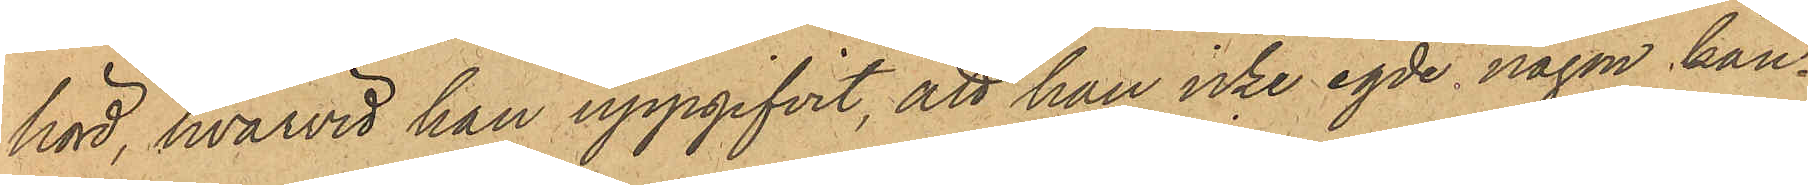hörd, hvarvid han uppgifvit, att han icke egde någon kän¬
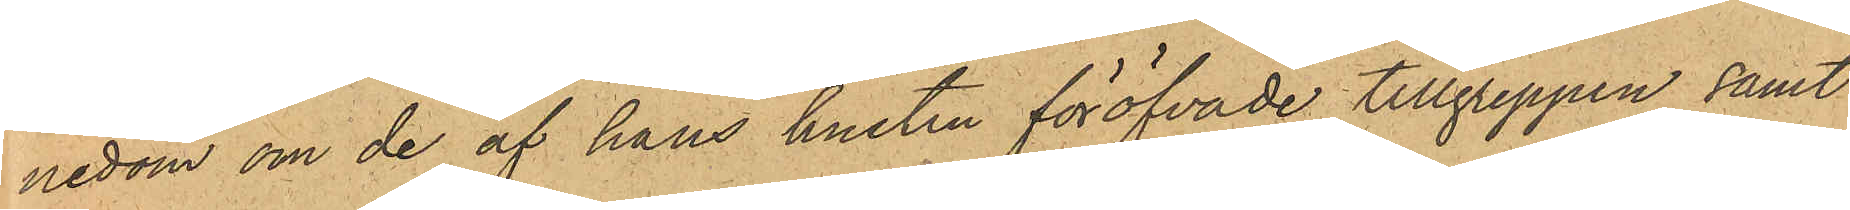nedom om de af hans hustru föröfvade tillgreppen samt
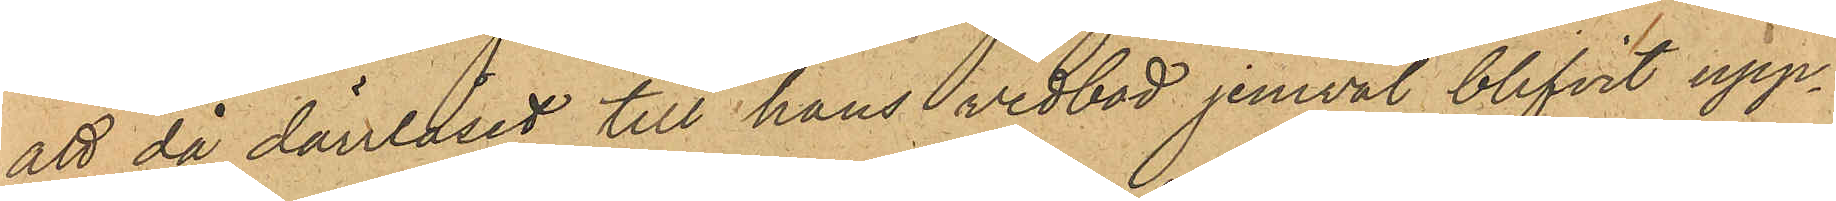att då dörrlåset till hans vedbod jemväl blifvit upp¬
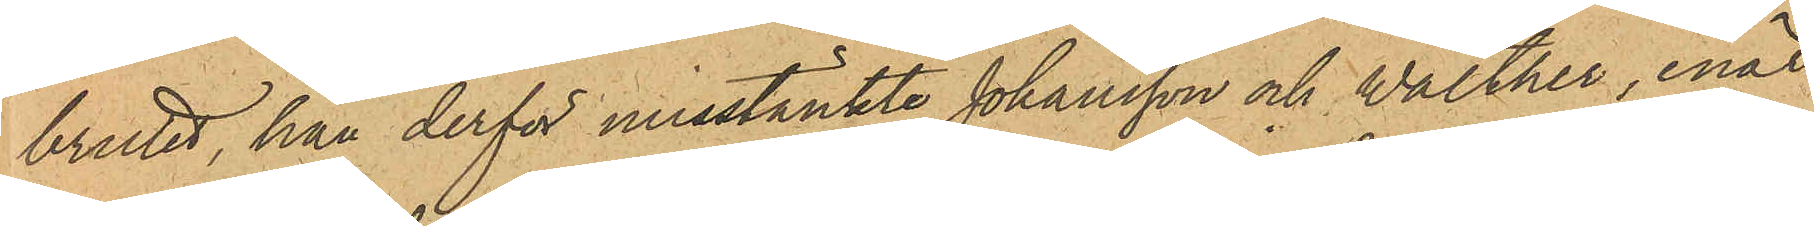brutit han derför misstänkte Johansson och Walther, enär
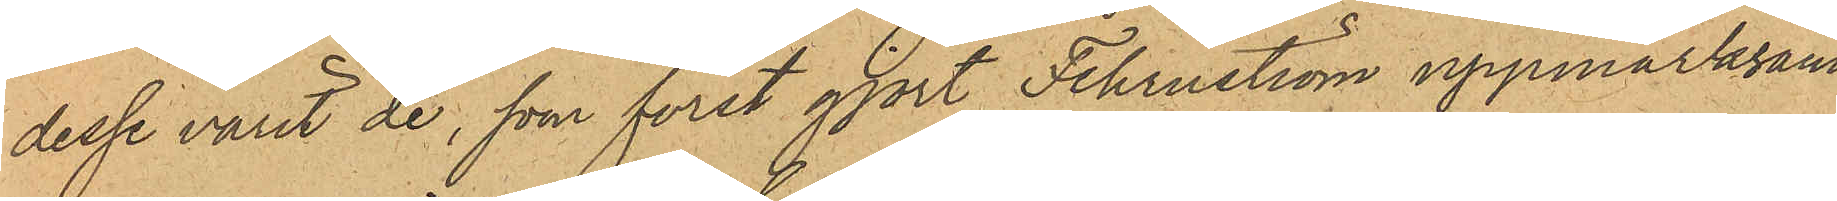desse varit de, som först gjort Fehrnström uppmärksam¬
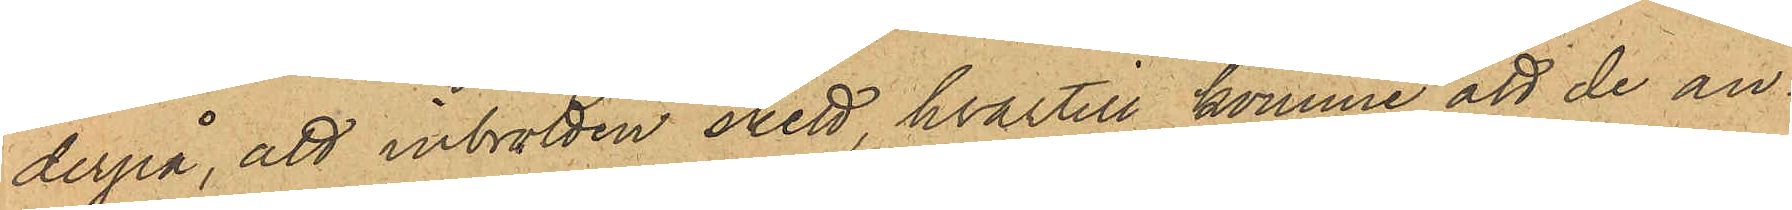derpå, att inbrotten skett, hvartill komme att de an¬
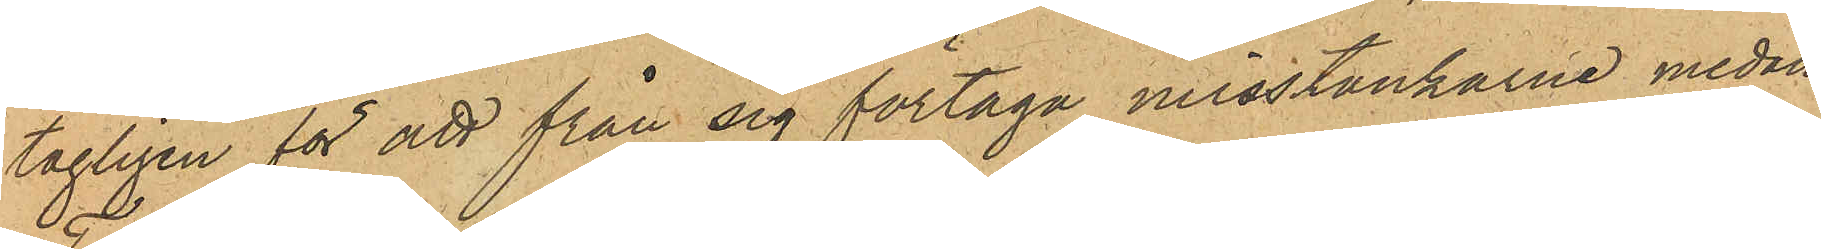tagligen för att från sig förtaga misstänkarne medan
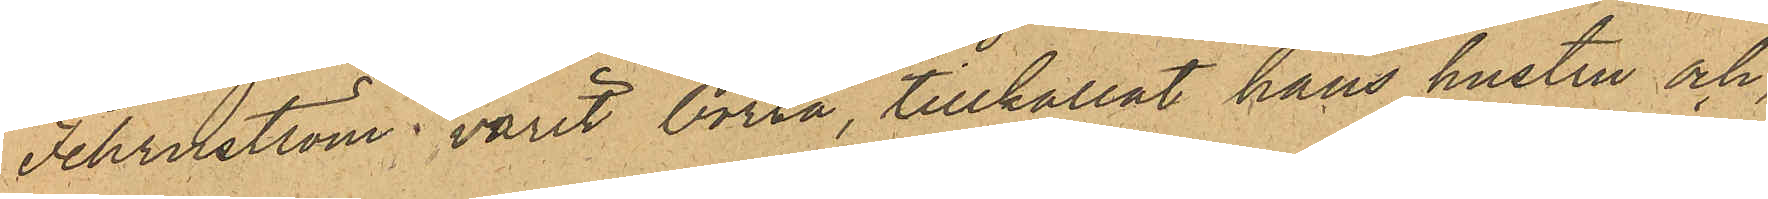Fehrnström varit borta, tillkallat hans hustru och,
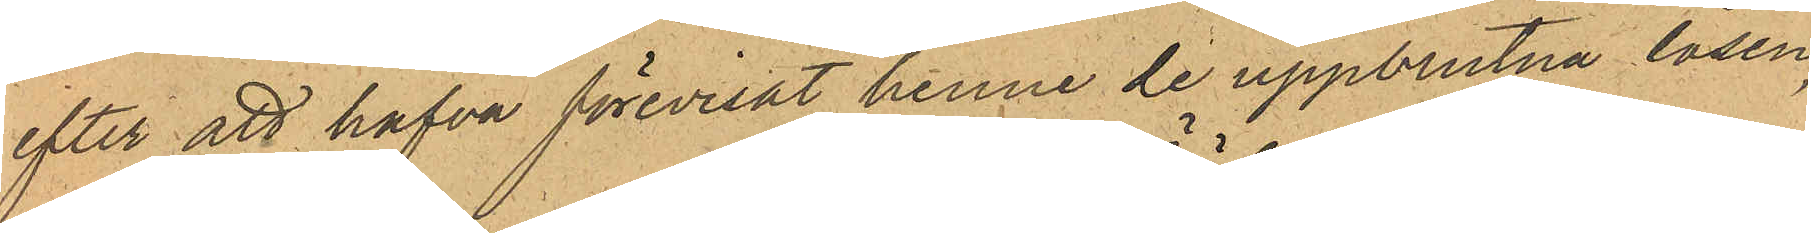efter att hafva förevisat henne de uppbrutna låsen,
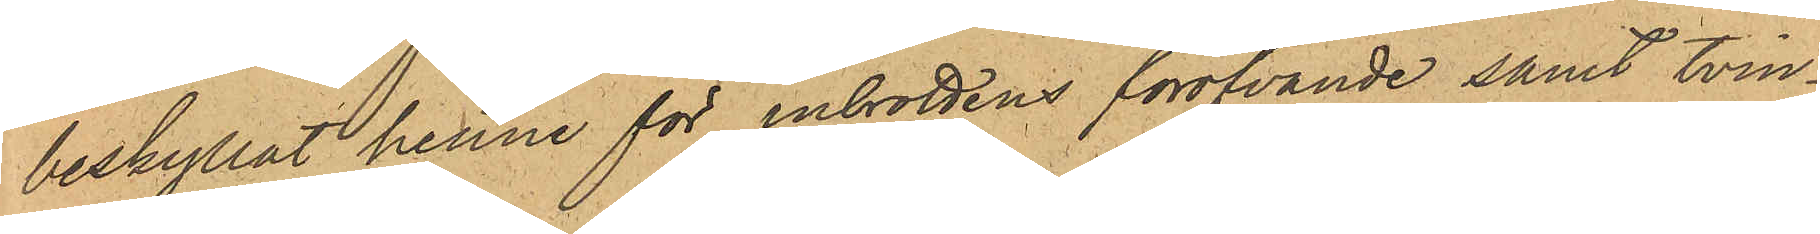beskyllat henne för inbrottens föröfvande samt tvin¬
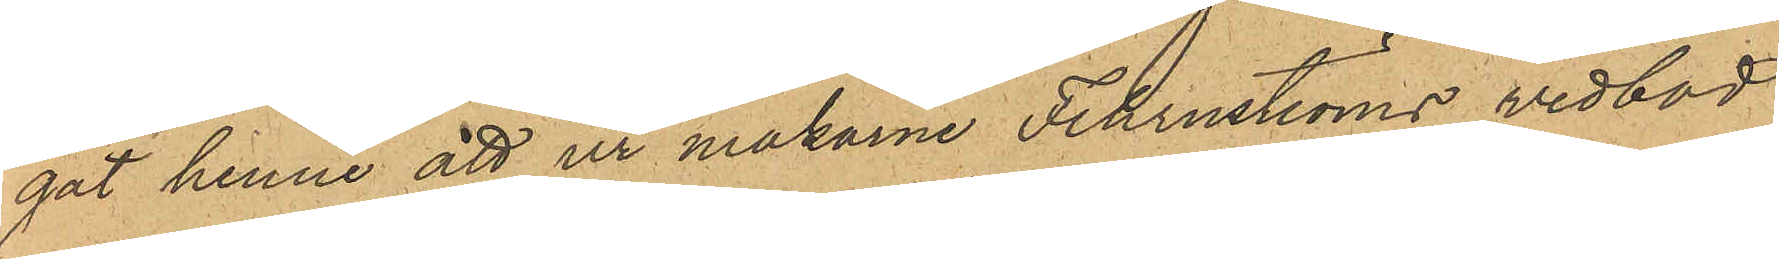gat henne att ur makarne Fehrnströms wedbod
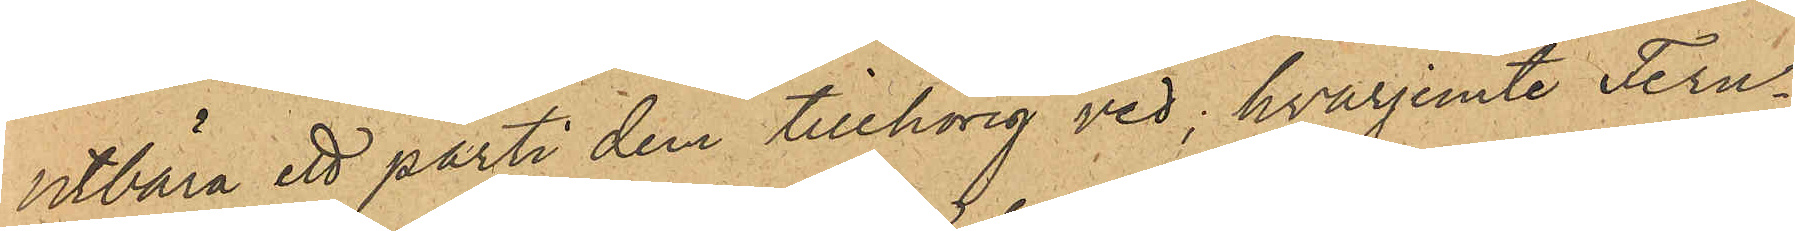utbära ett parti dem tillhörig ved; hvarjemte Fern¬
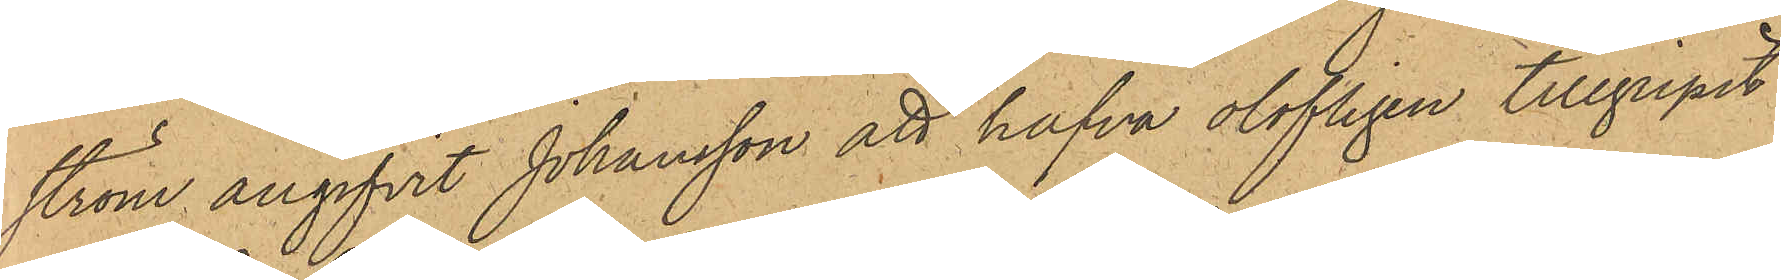ström angifvit Johansson att hafva olofligen tillgripit
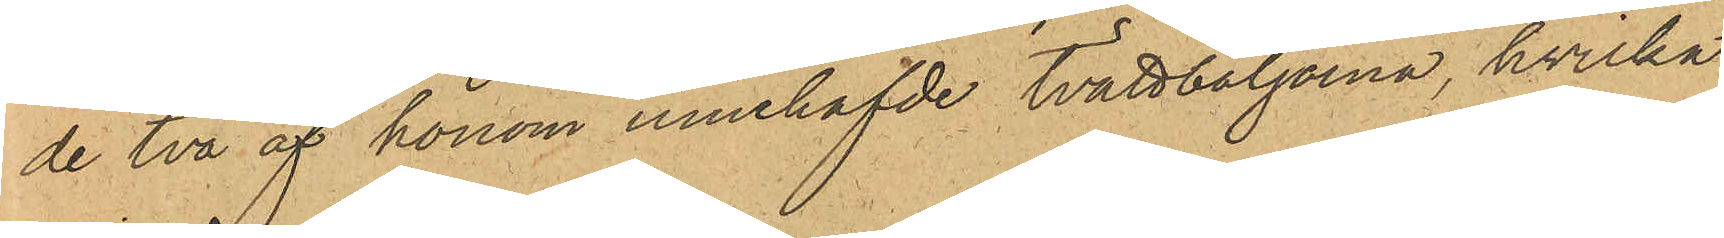de två af honom innehafde tvättbaljorna, hvilka
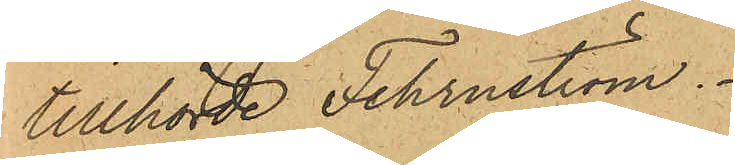tillhörde Fehrnström.
